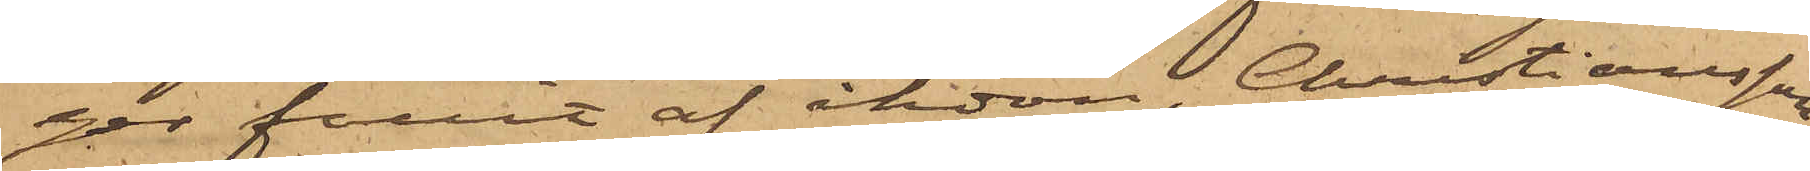ger fallit af åkdon, Christiansson
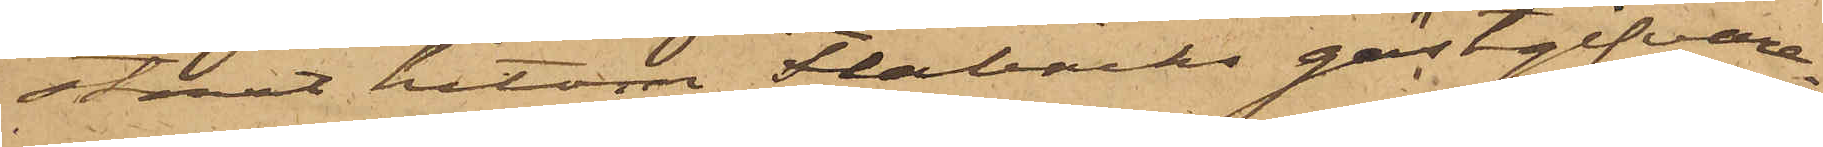straxt hitom Flabäcks gästgifvare¬
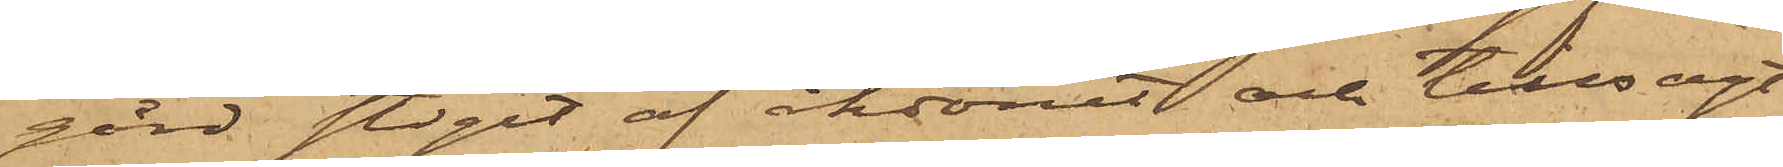gård stigit af åkdonet och tillsagt
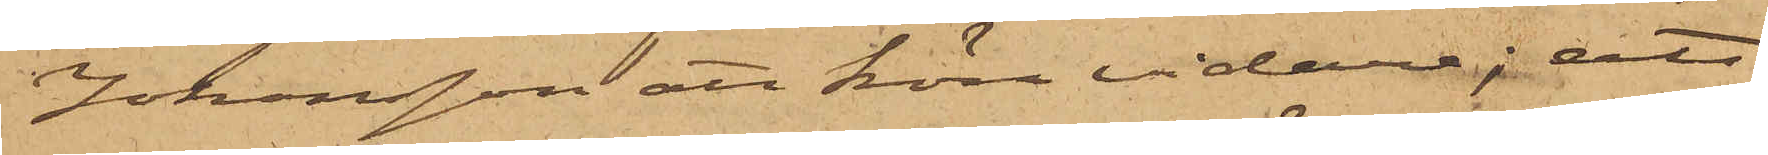Johansson att köra vidare; att
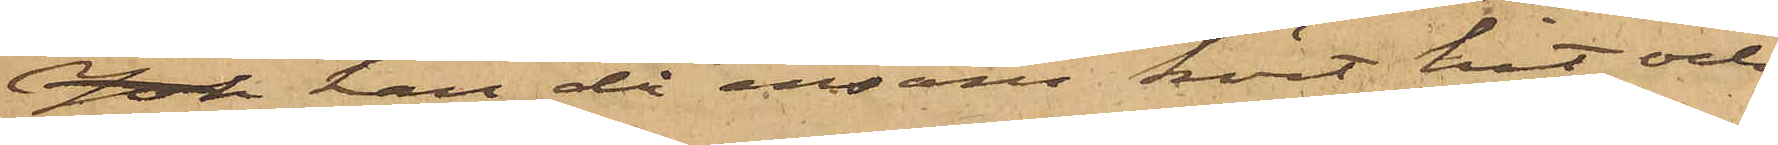Joh han då ensam kört hit och
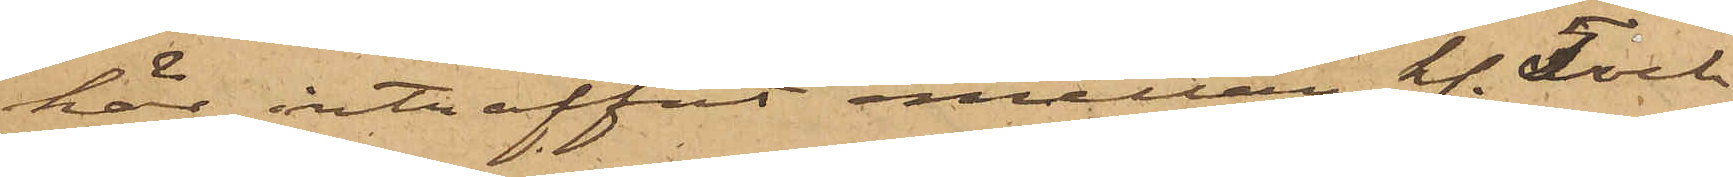här inträffat mellan kl. 5 och
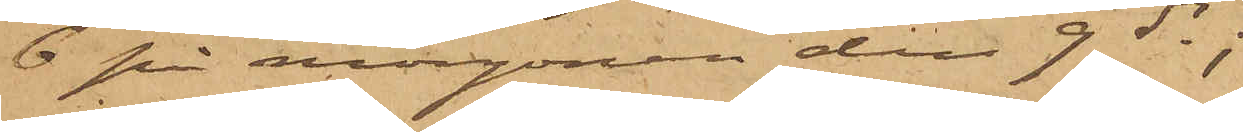6 på morgonen den 9 ds; 
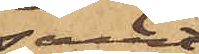samt
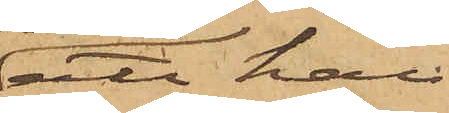att han
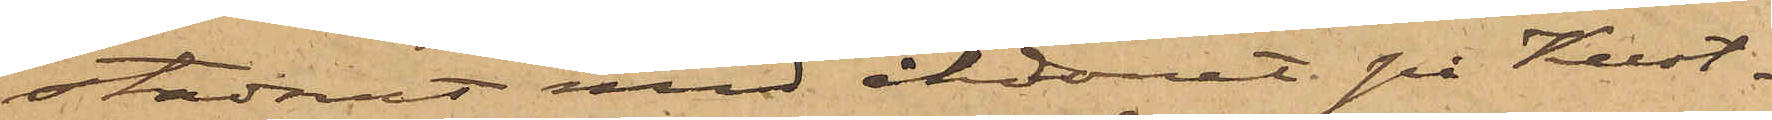stadnat med åkdonet på Kust¬
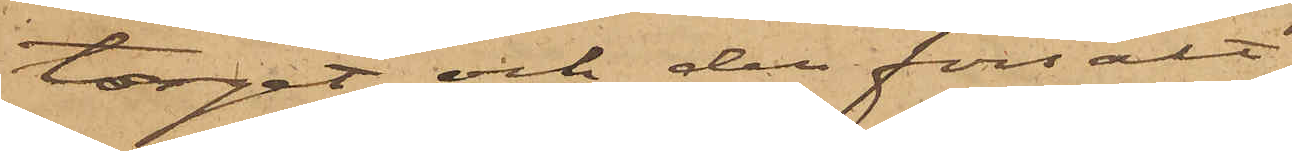torget och der försålt
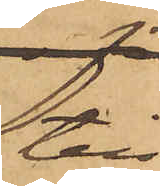till
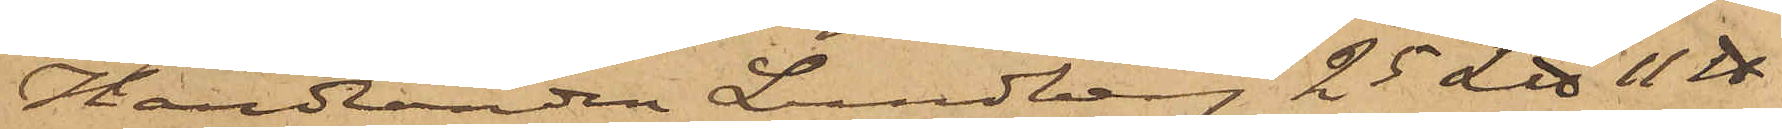Handlanden Lundberg 25 L℔ 11 ℔
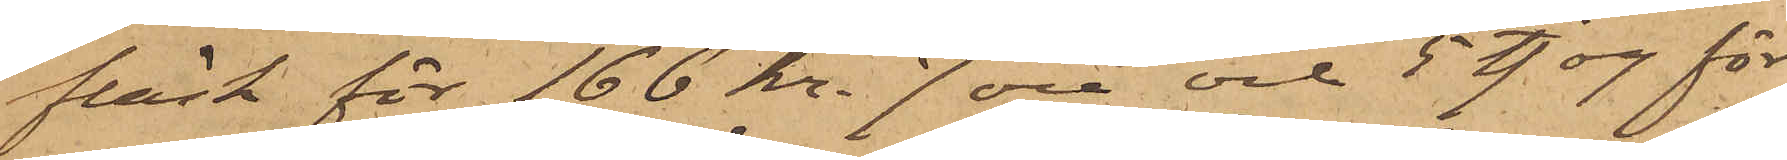fläsk för 166 kr. 7 öre och 5 tjog för
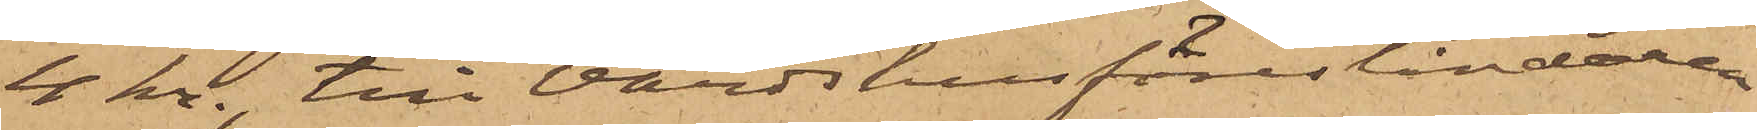4 kr., till Värdshusföreståndaren
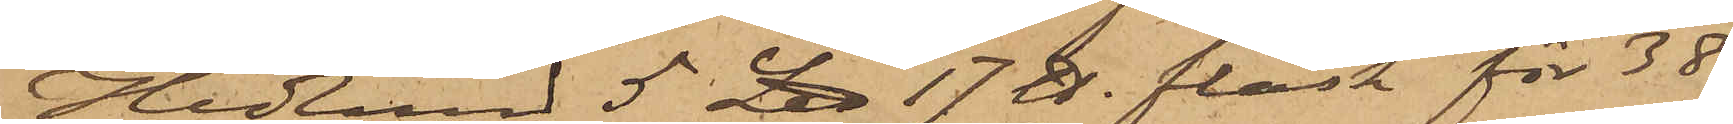Hedlund 5 L℔ 17 ℔ fläsk för 38
